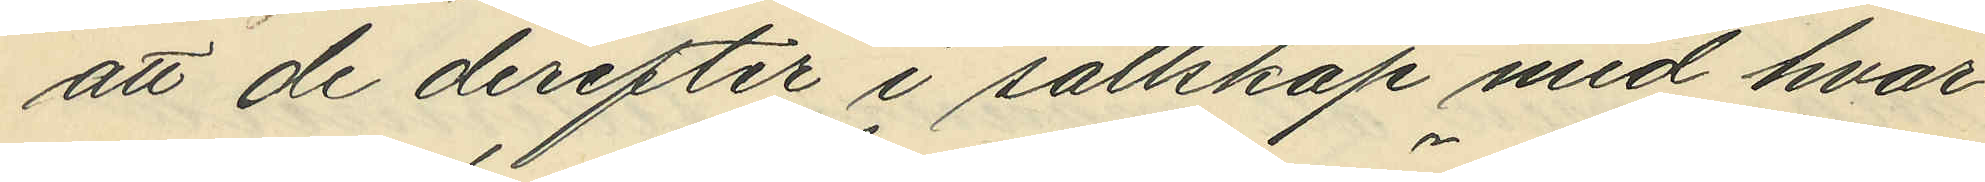att de derefter i sällskap med hvar¬
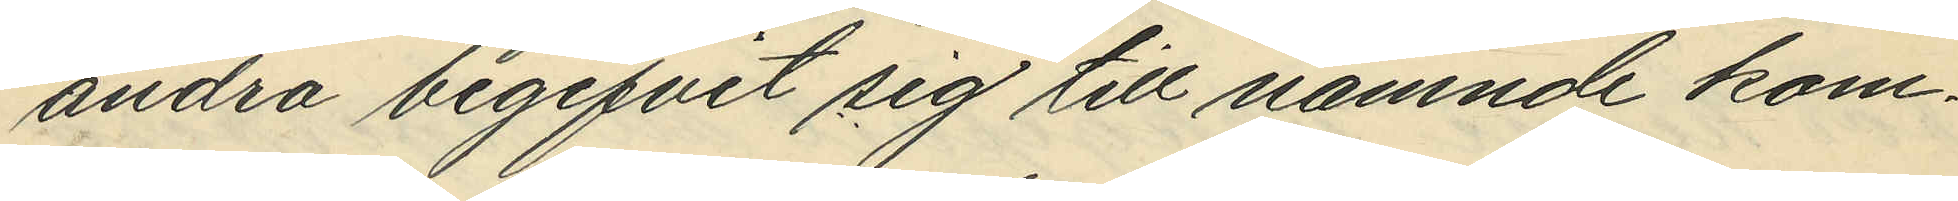andra begifvit sig till nämnde kom¬
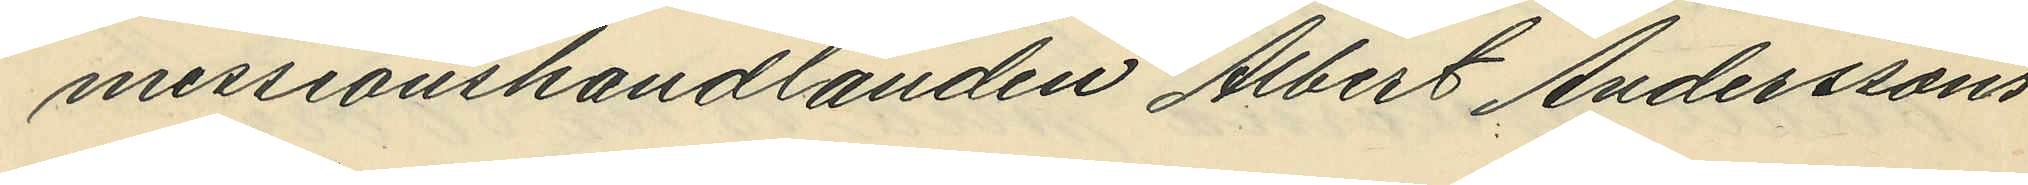messionshandlanden Albert Anderssons
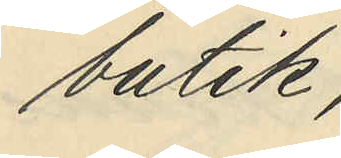butik;
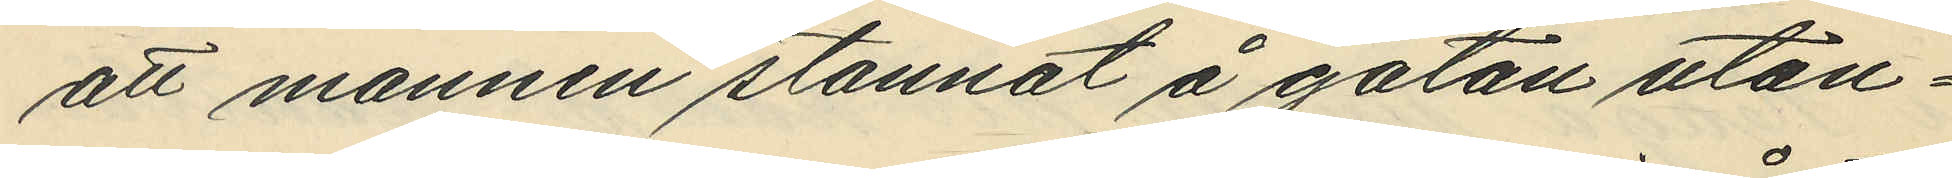att mannen stannat å gatan utan¬
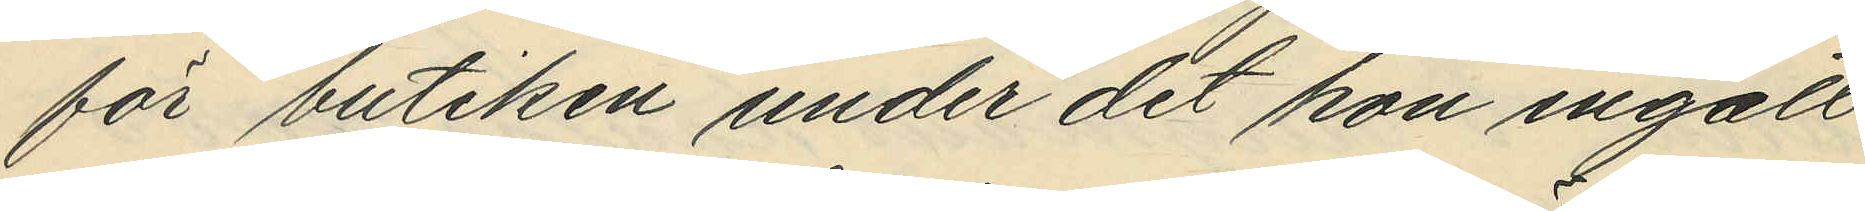för butiken under det hon ingått
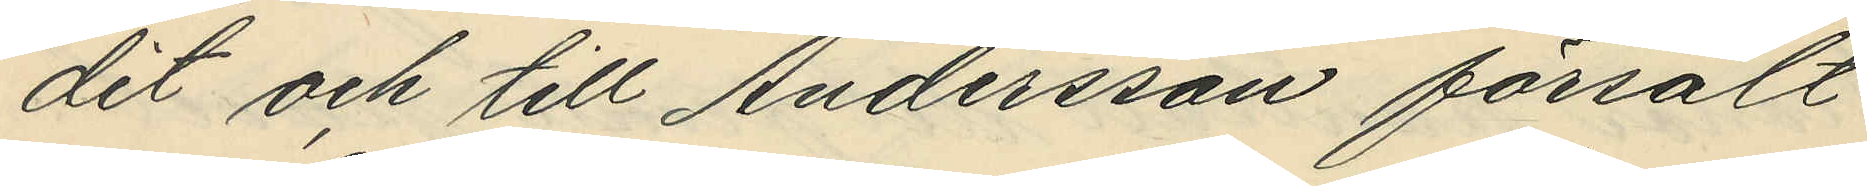dit och till Andersson försålt
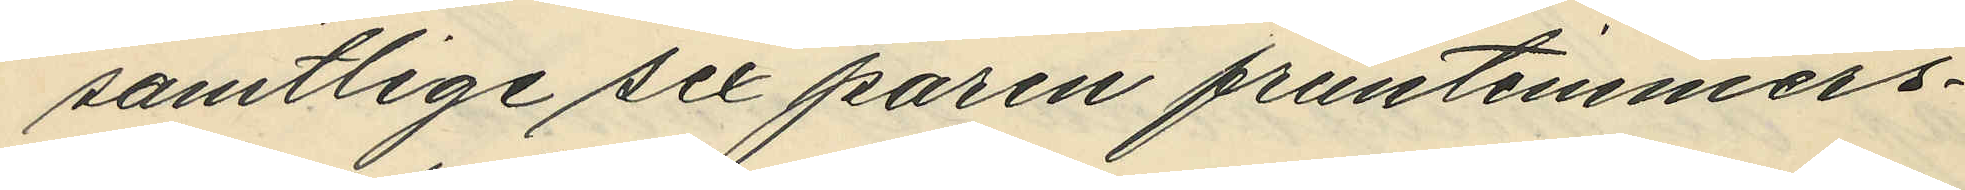samtlige sex paren fruntimmers¬
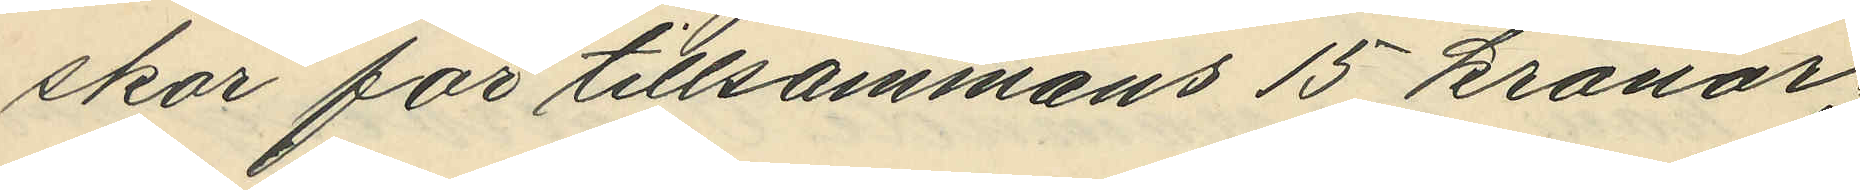skor för tillsammans 15 kronor;
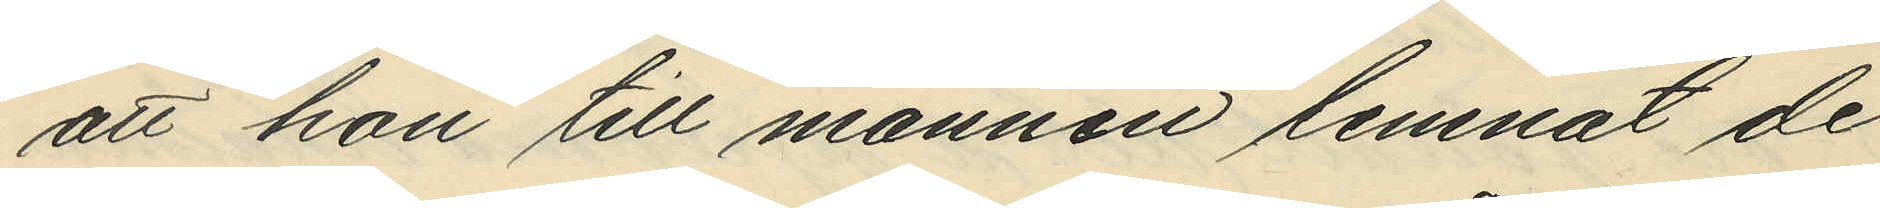att hon till mannen lemnat de
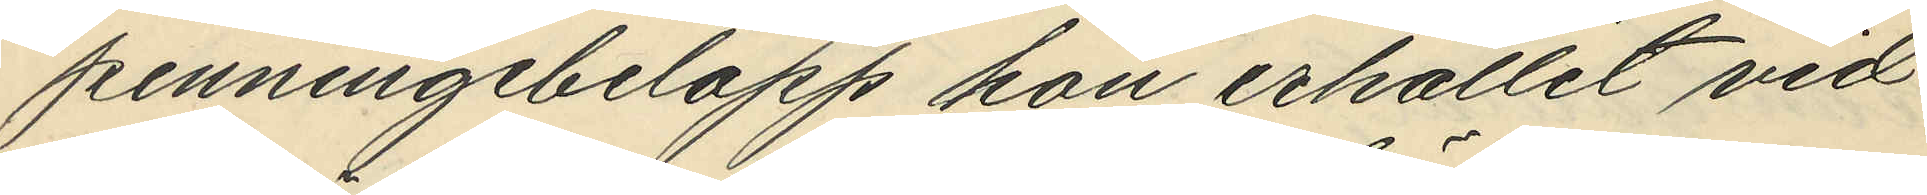penningebelopp hon erhållit vid
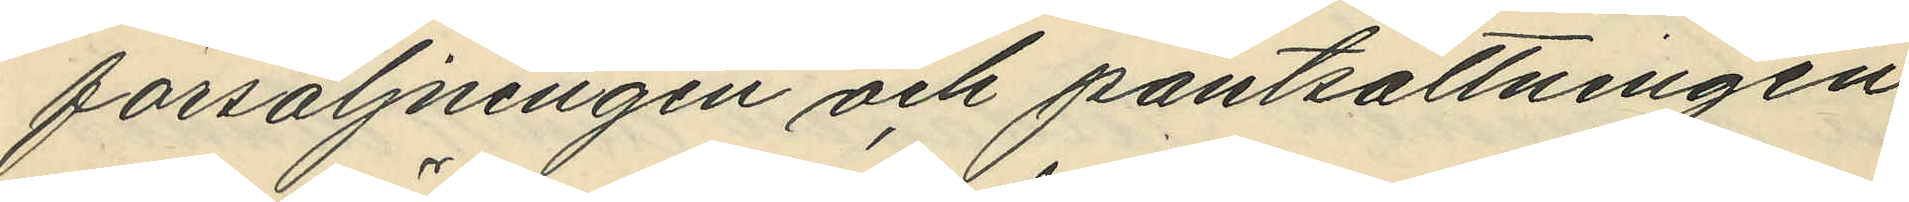försäljningen och pantsättningen
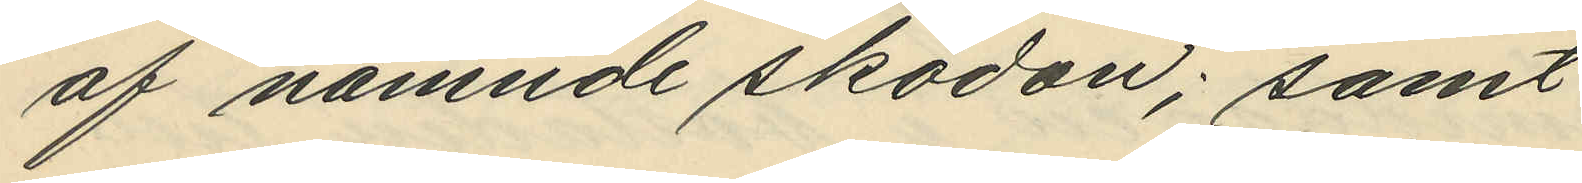af nämnde skodon; samt
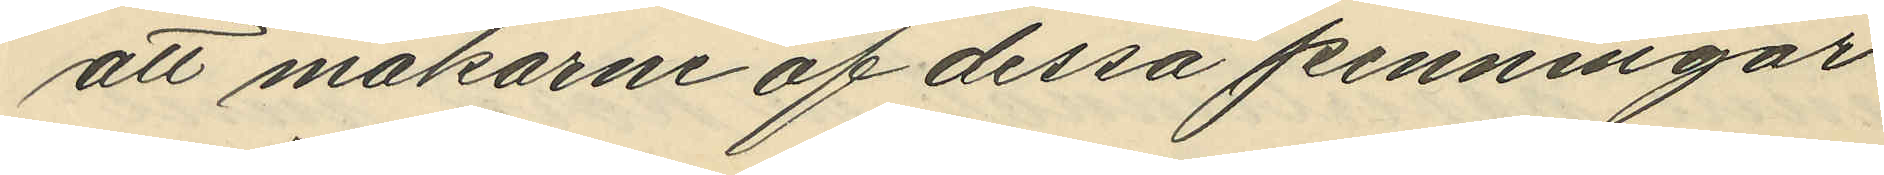att makarne af dessa penningar
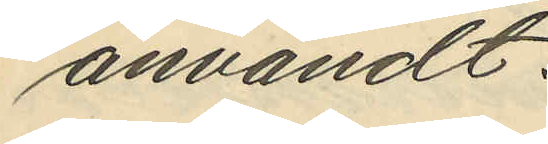användt:
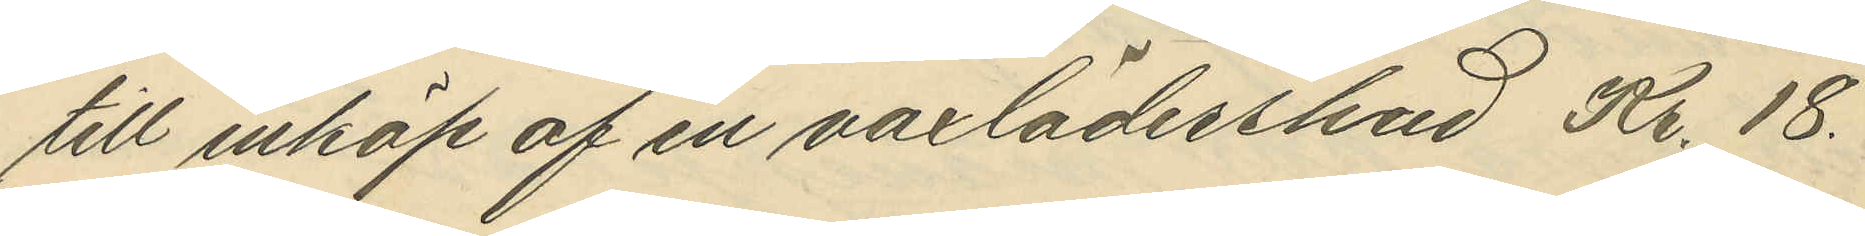till inköp af en vaxlädershud Kr. 18.
